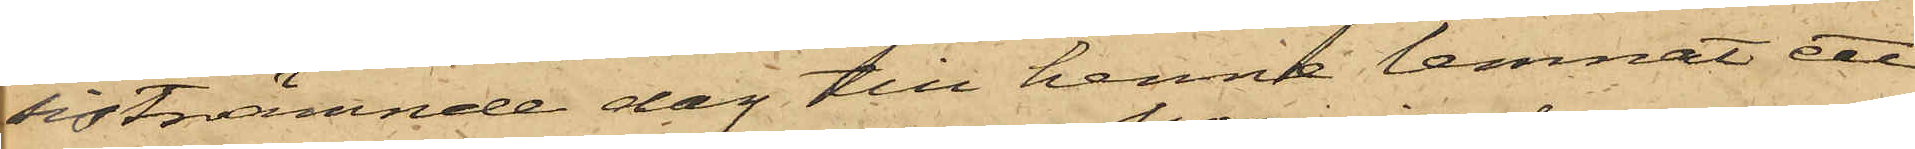sistnämnde dag till henne lemnat ett
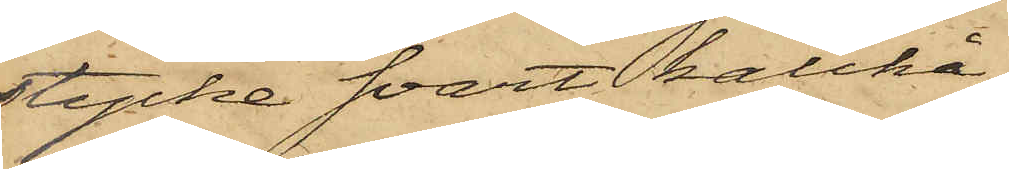stycke svart kalikå,
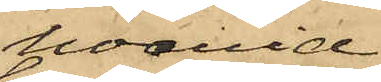hvarvid
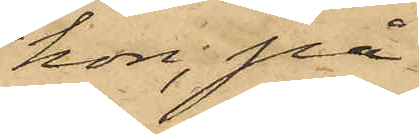hon, på
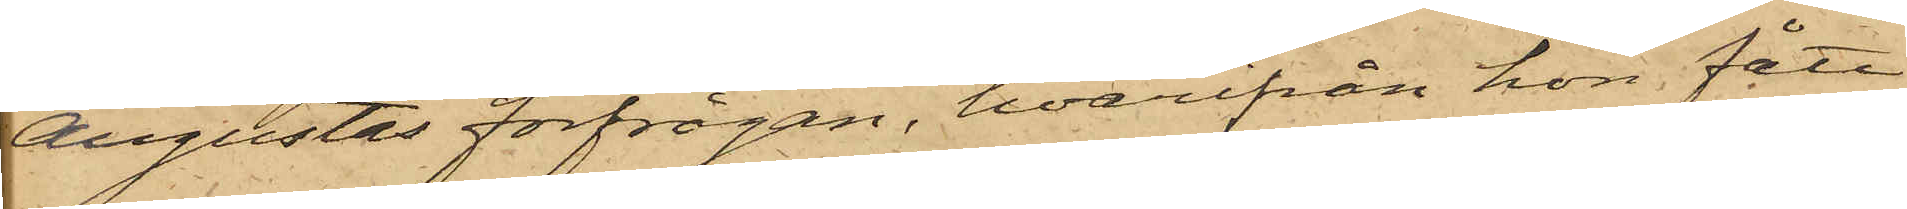Augustas förfrågan, hvarifrån hon fått
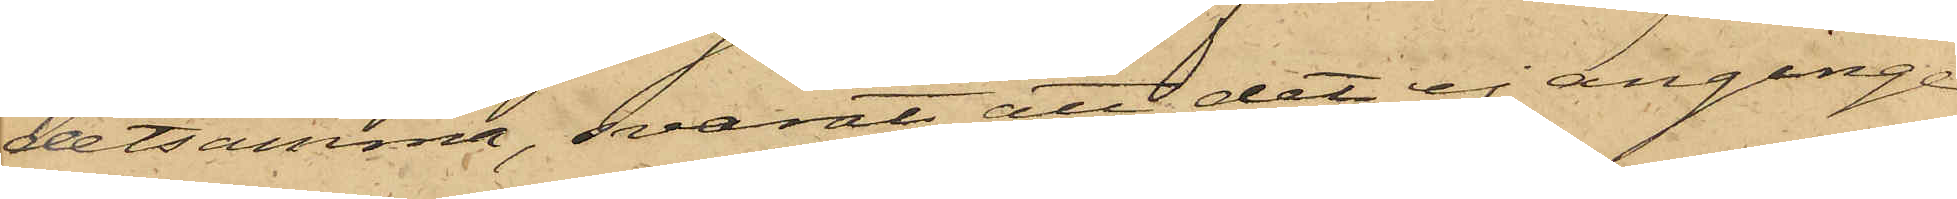detsamma, svarat att det ej anginge
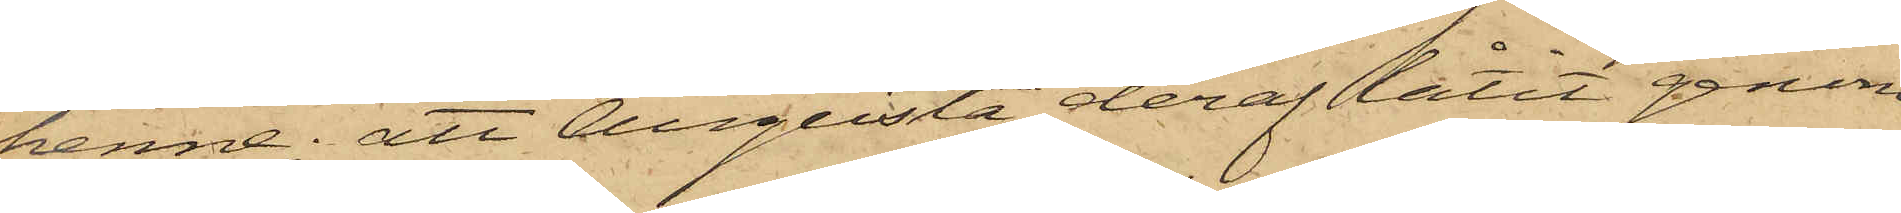henne; att Augusta deraf låtit genom
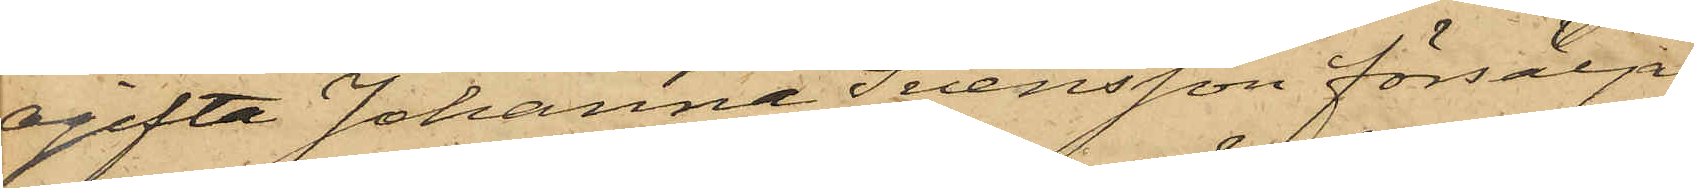ogifta Johanna Svensson försälja
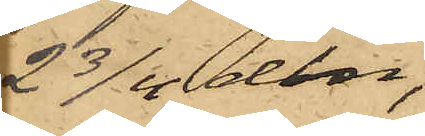2 3/4 alnar,
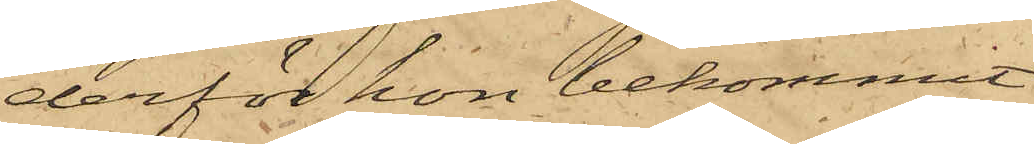derför hon bekommit
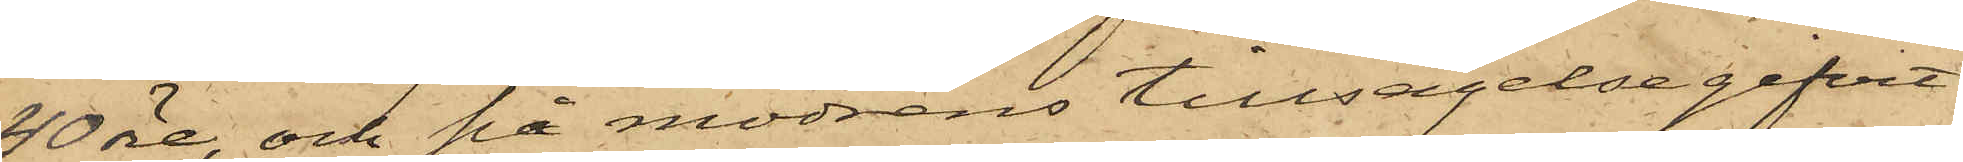40 öre, och på modrens tillsägelse gifvit
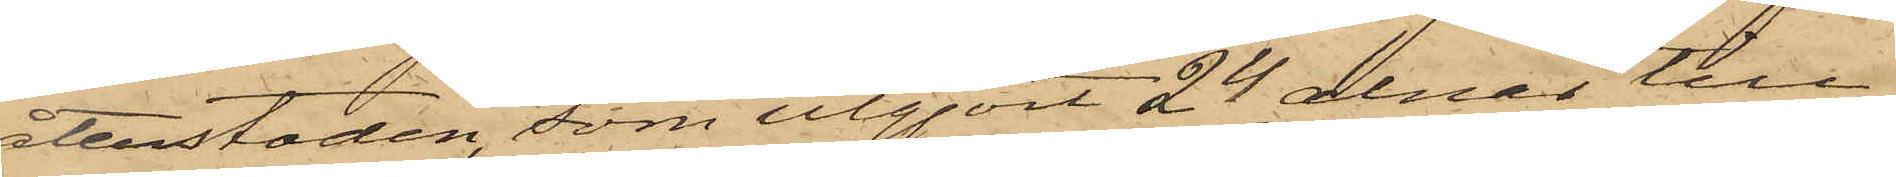återstoden, som utgjort 24 alnar till
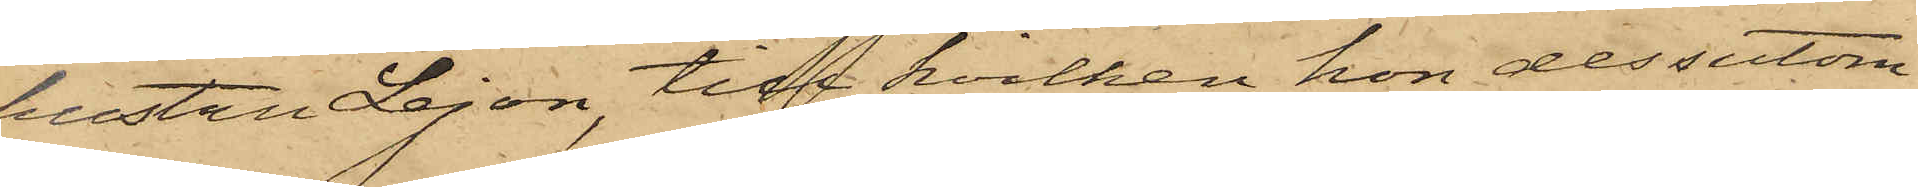hustru Lejon, till hvilken hon dessutom
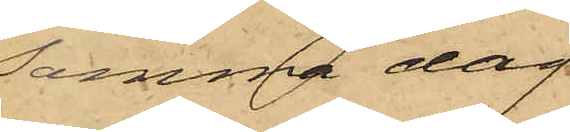samma dag
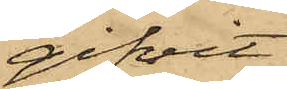gifvit
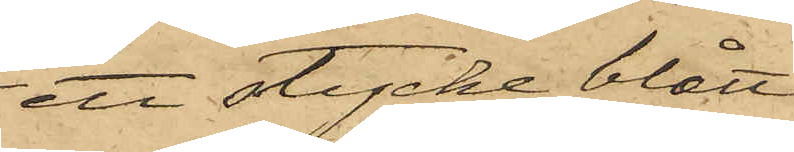ett stycke blått
